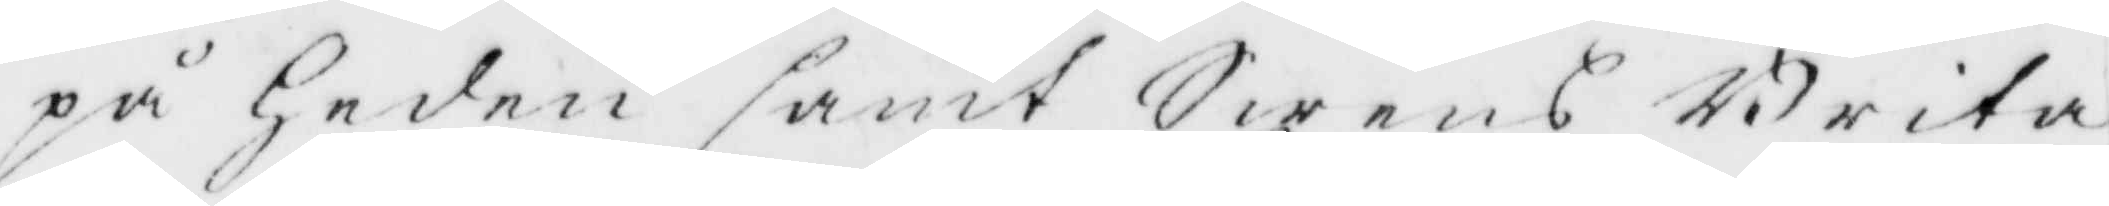på Heden samt Sirens Brita
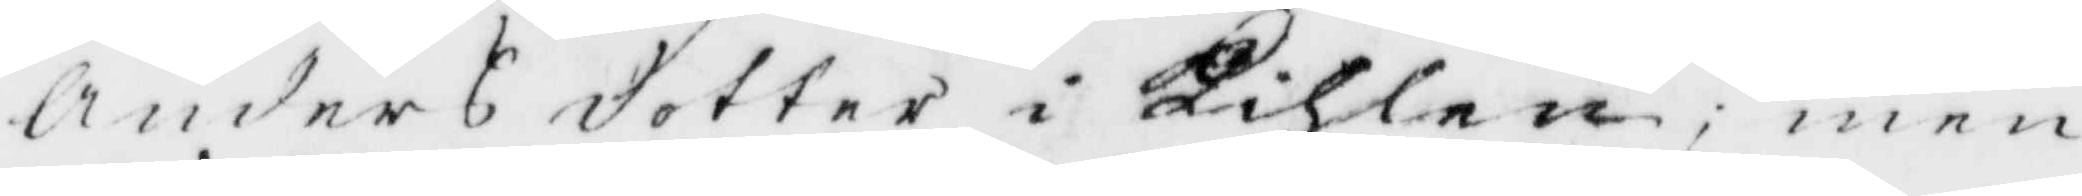Andersdotter i Kihlen; men
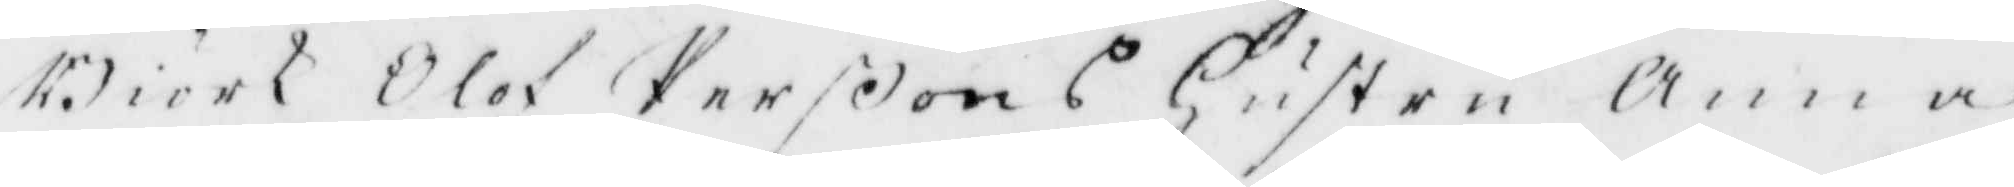Biörk Olof Perßons Hustru Anna
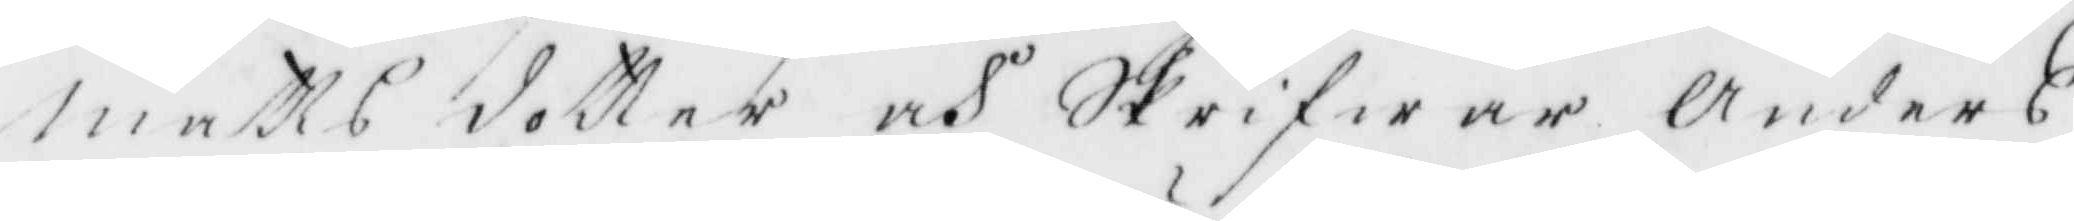Matts dotter och Skrifwar Anders
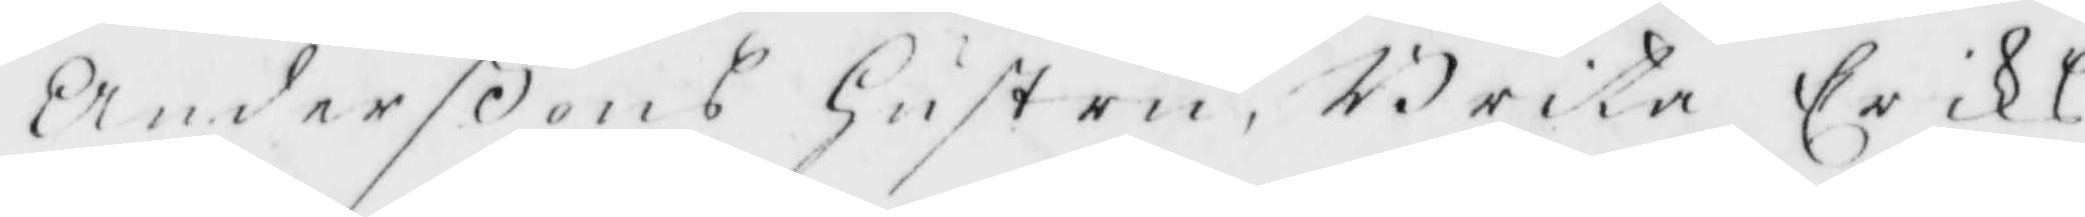Anderßons Hustru, Brita Eriks¬
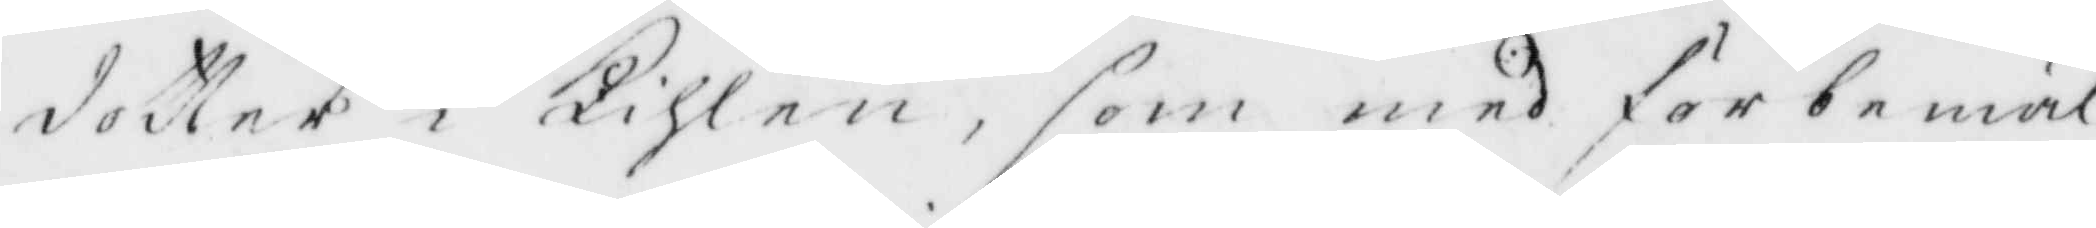dotter i Kihlen, som med förbemäl¬
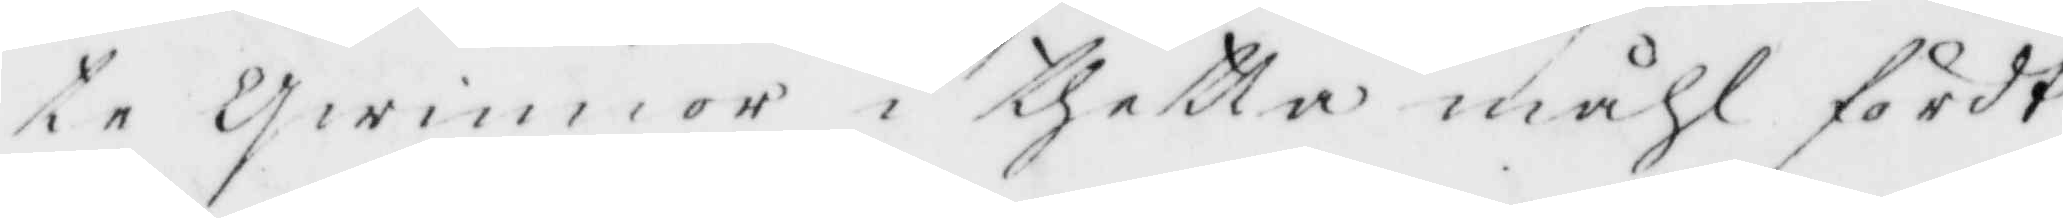te Qwinnor i thetta måhl fördt
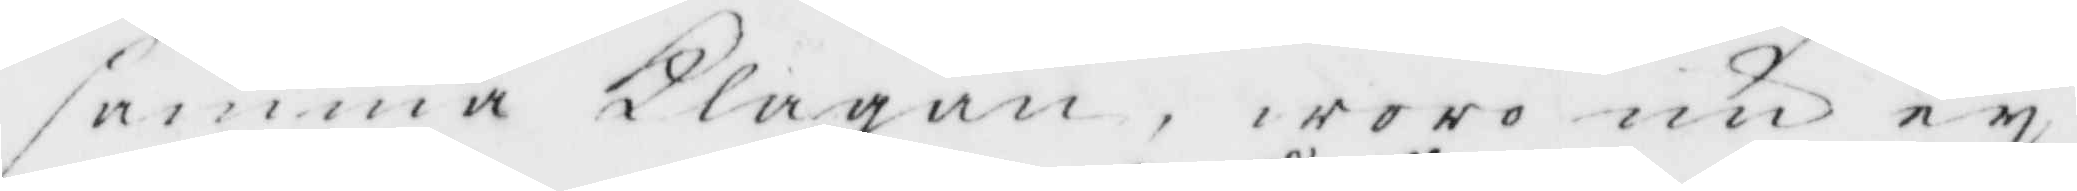samma Klagan, woro nu ey
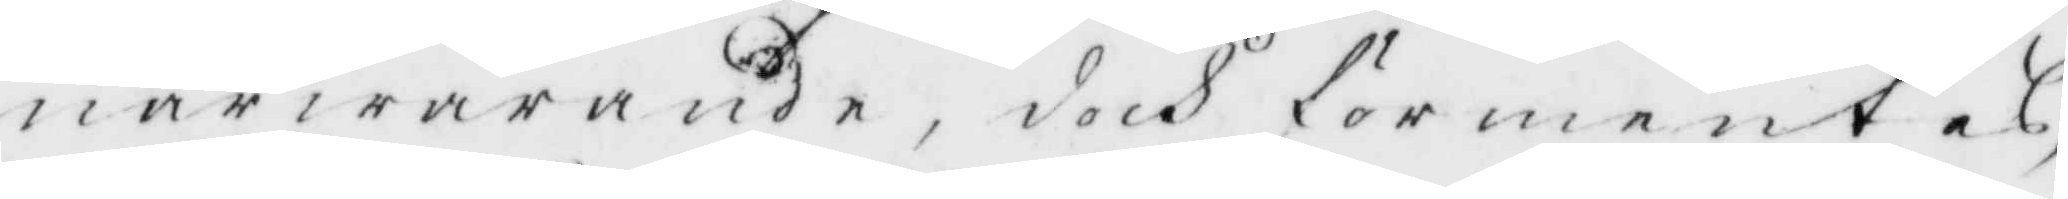närwarande, dock förmentes,
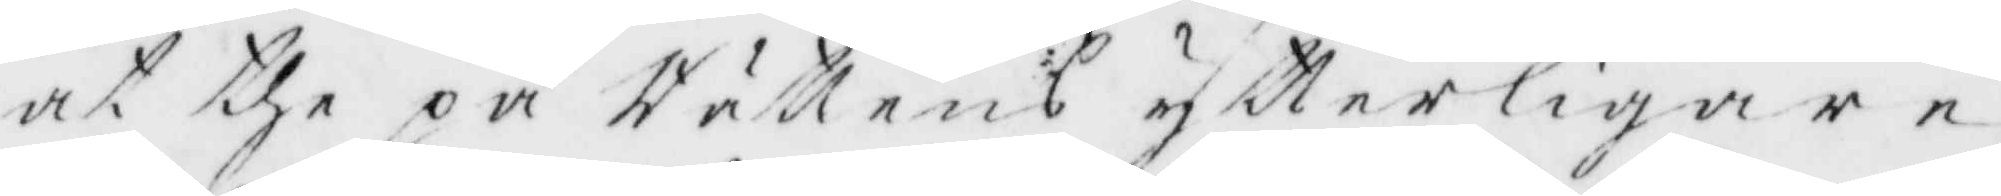at the på Rättens ytterligare
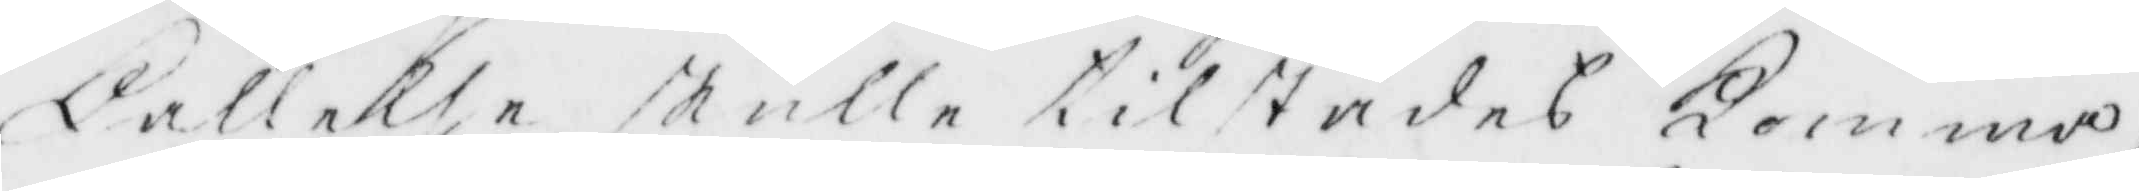Kallelse skulle tillstädes Komma,
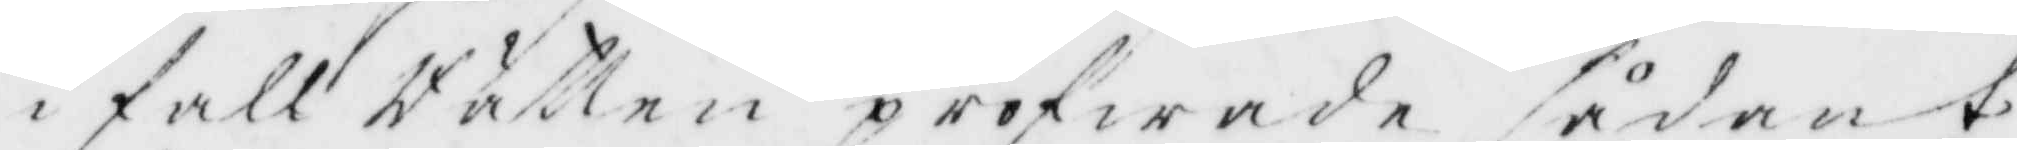ifall Rätten pröfwade sådant
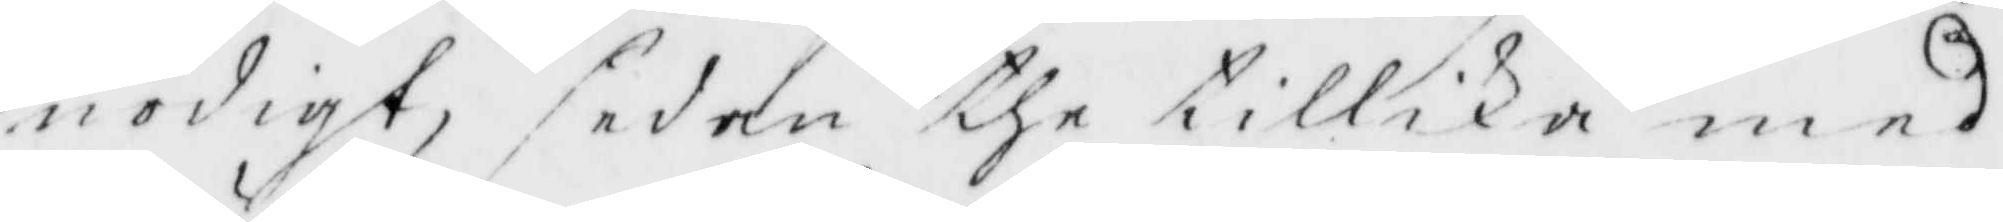nödigt, sedan the tillika med
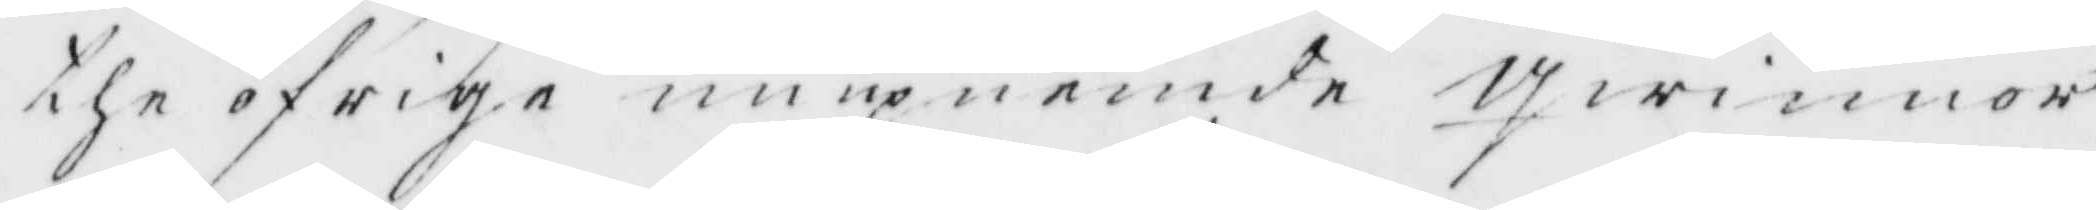the öfrige nu upnemde Qwinnor
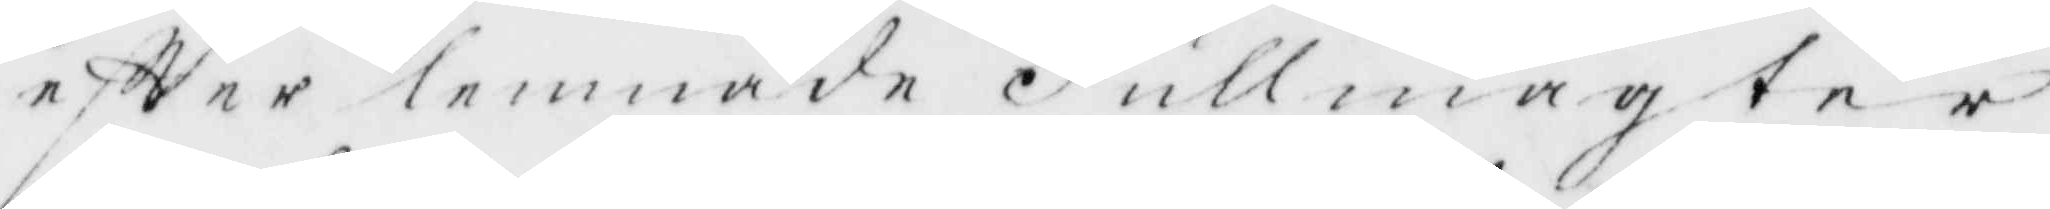eftter lemnade Fullmagter
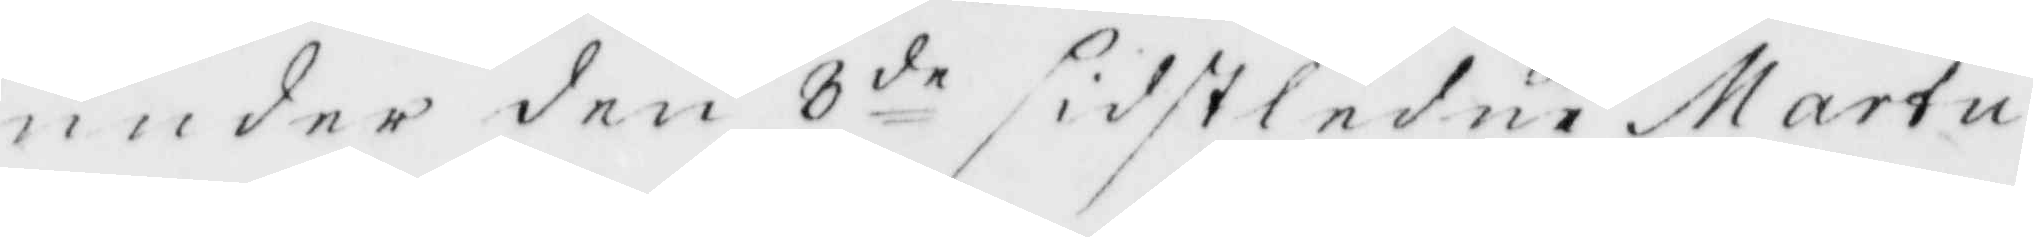under den 3 de sidstledne Martu
